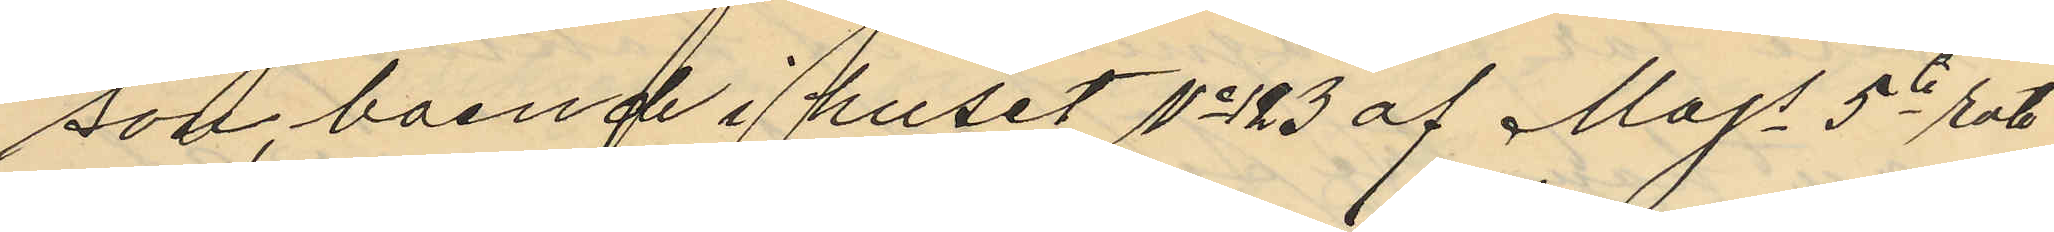son, boende i huset No 123 af Majs 5te rote
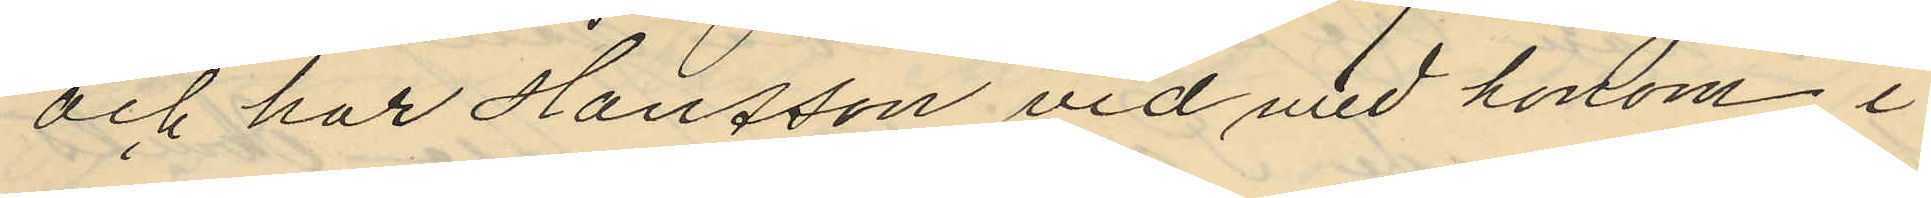och har Hansson vid med honom i
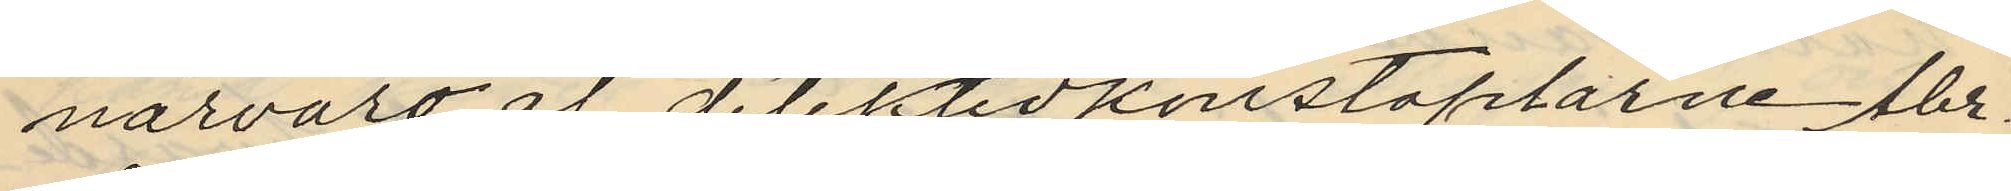närvaro af detektivkonstaplarne Abr.
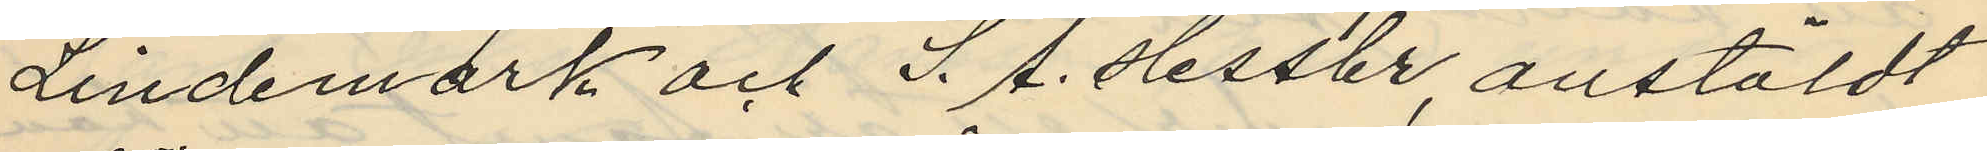Lindemark och S. A. Hessler, anstäldt
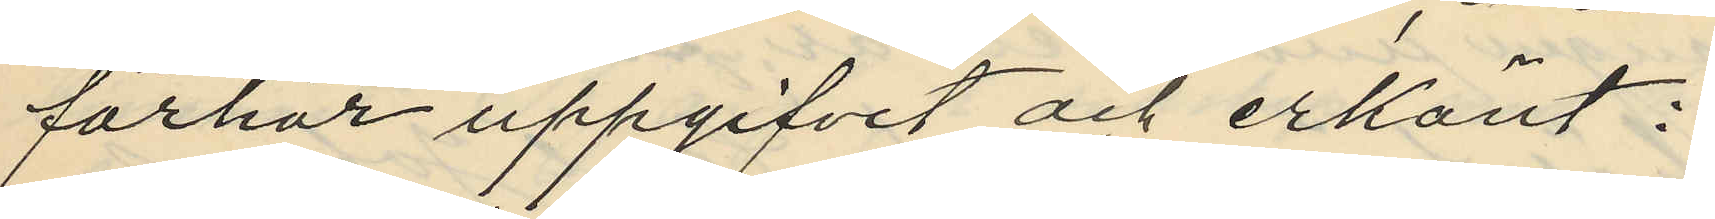förhör uppgifvit och erkänt:
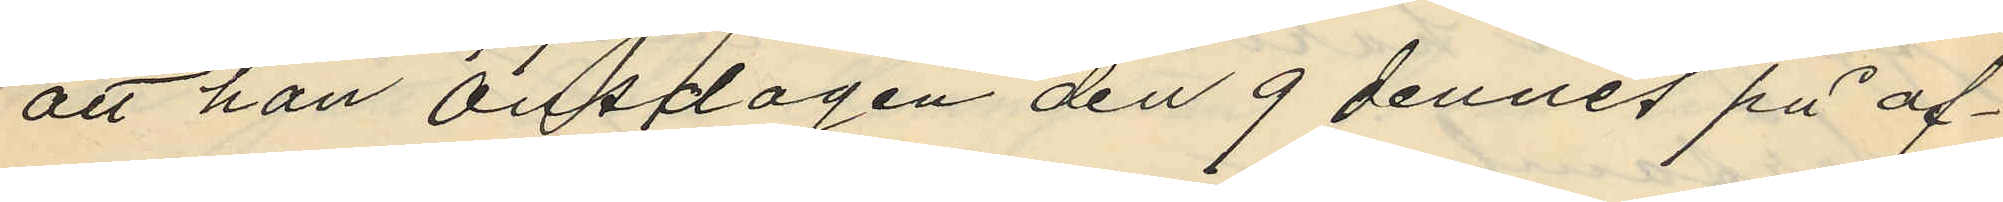att han onsdagen den 9 dennes på af¬
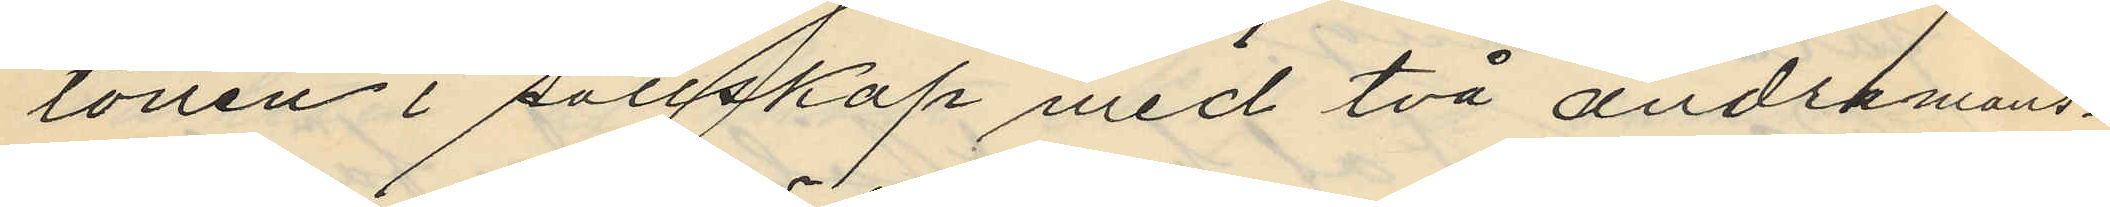tonen i sällskap med två andra mans¬
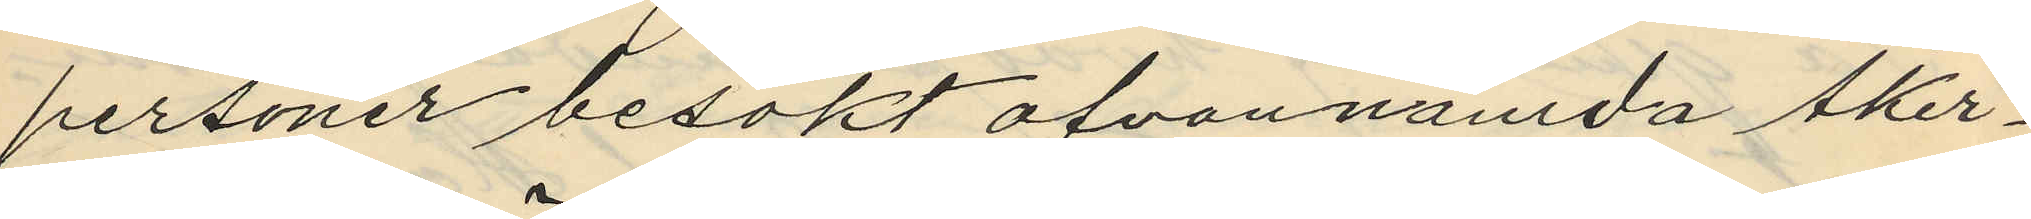personer besökt ofvannamda Åker¬
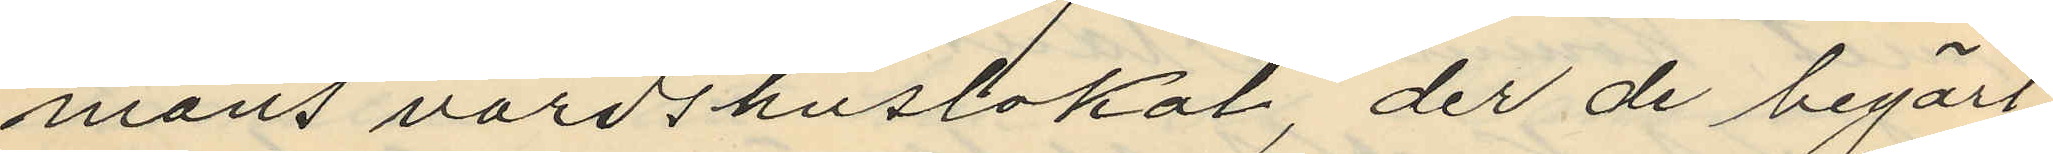mans värdshuslokal, der de begärt
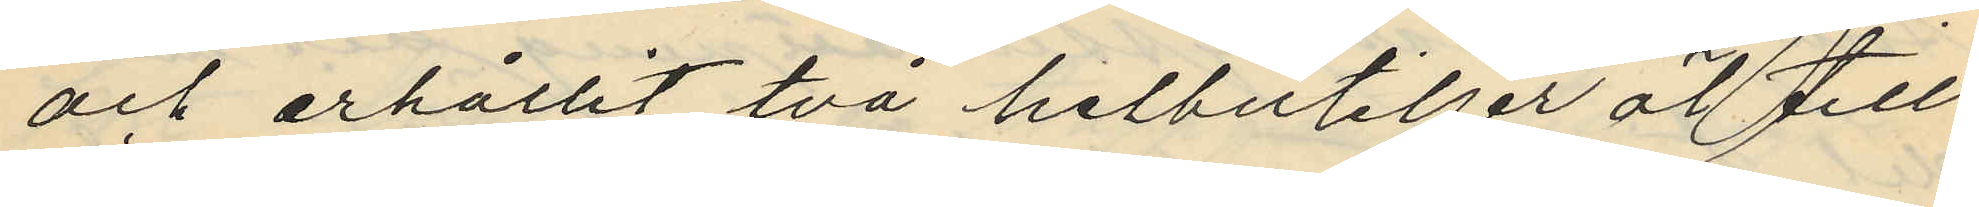och erhållit två helbuteljer öl till
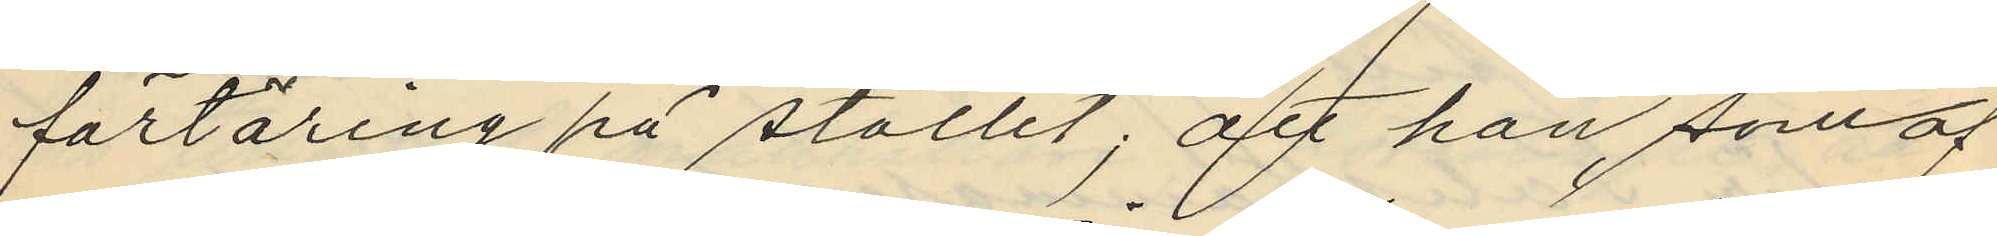förtäring på stället; att han som af
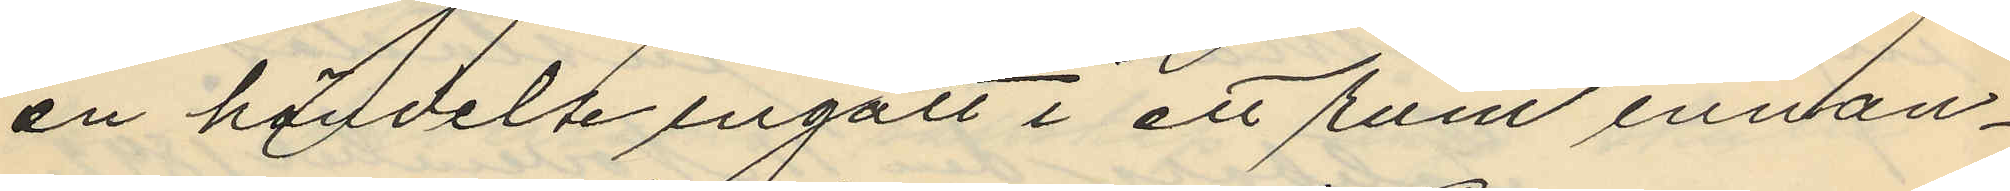en händelse ingått i ett rum innan¬
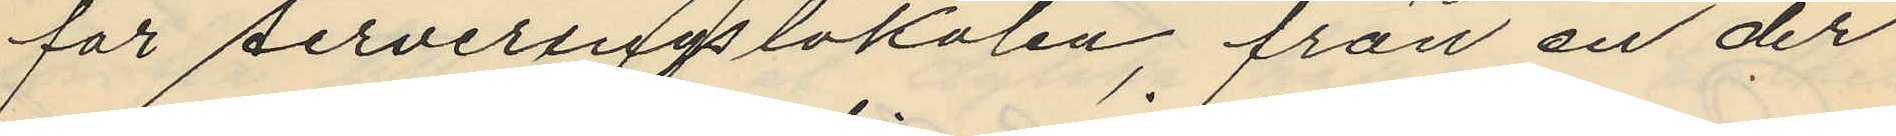för serveringslokalen, från en der
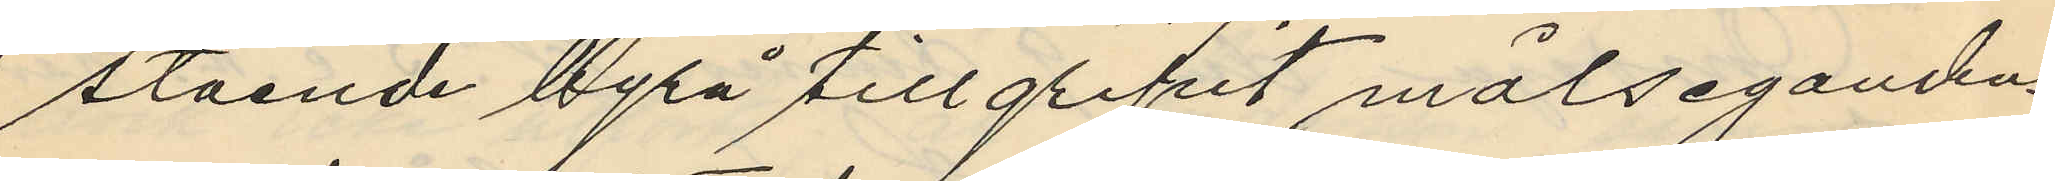stående byrå tillgripit målsegandens
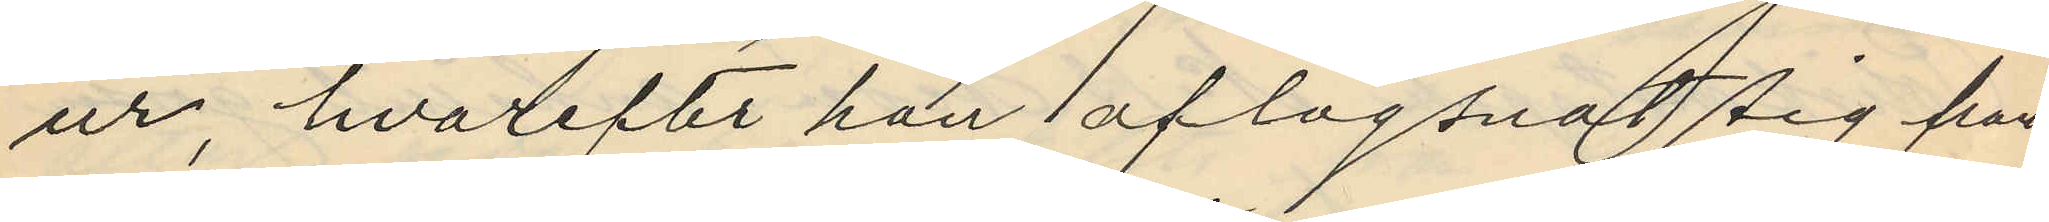ur, hvarefter han aflägsnat sig från
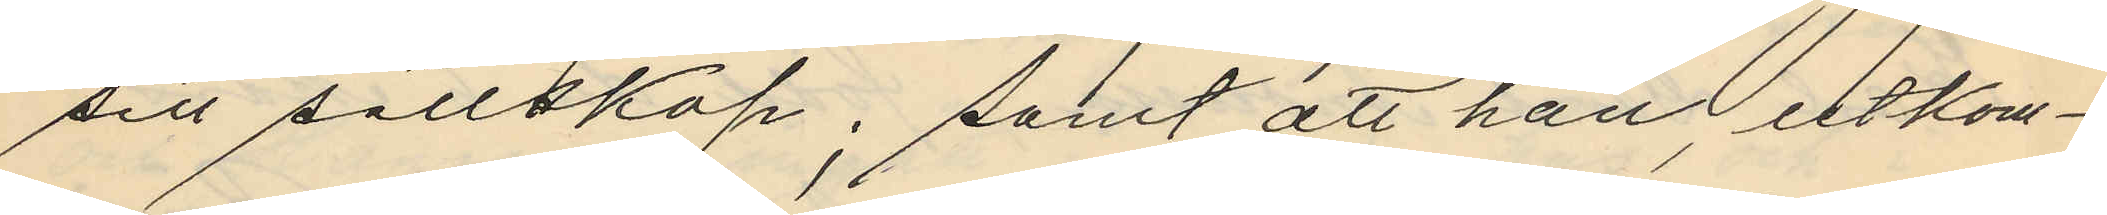sitt sällskap, samt att han, utkom¬
